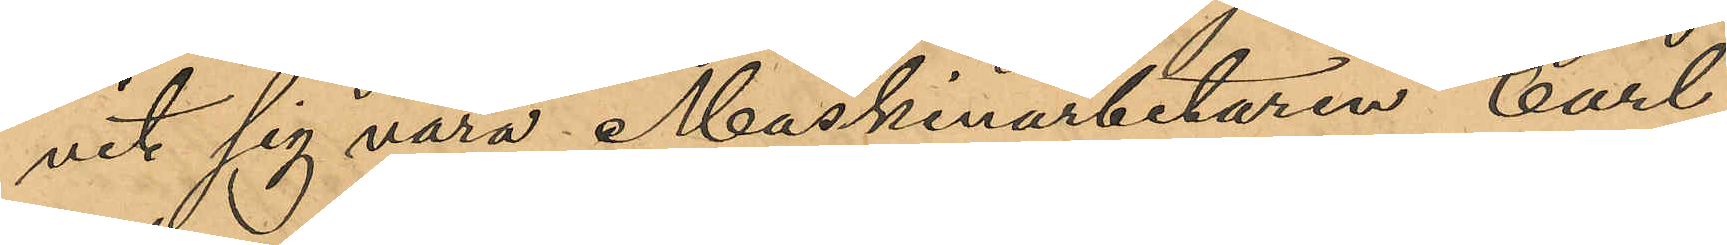vit sig vara Maskinarbetaren Carl
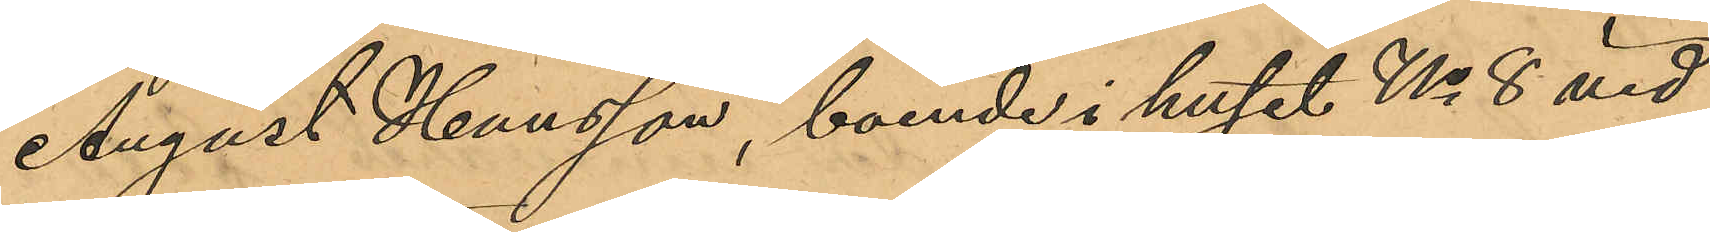August Hansson, boende i huset No 8 vid
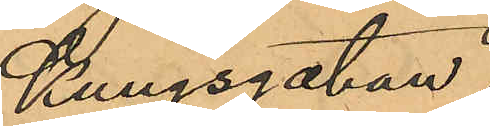Kungsgatan.
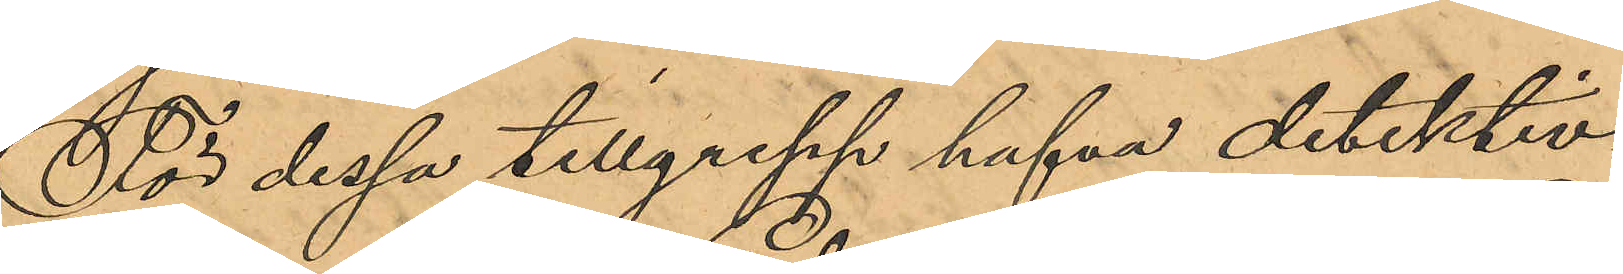För dessa tillgrepp hafva detektiv¬
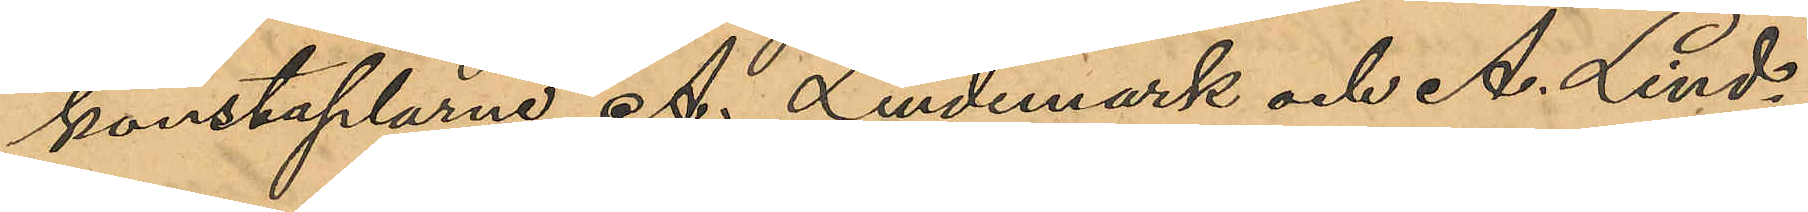konstaplarne A. Lindemark och A. Lind¬
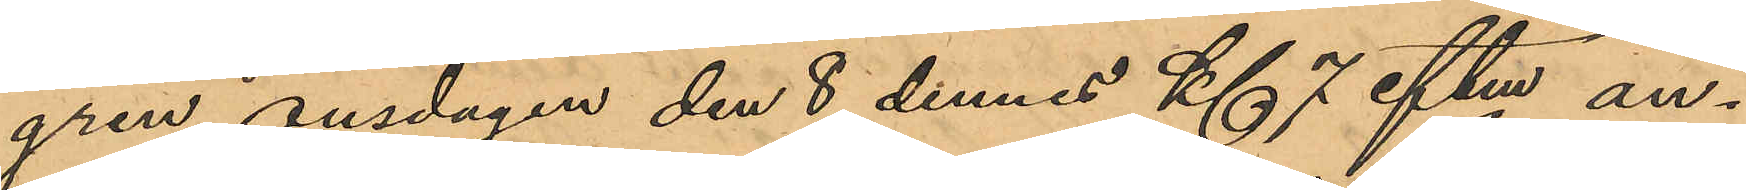gren onsdagen den 8 dennes Kl 7 eftm an¬
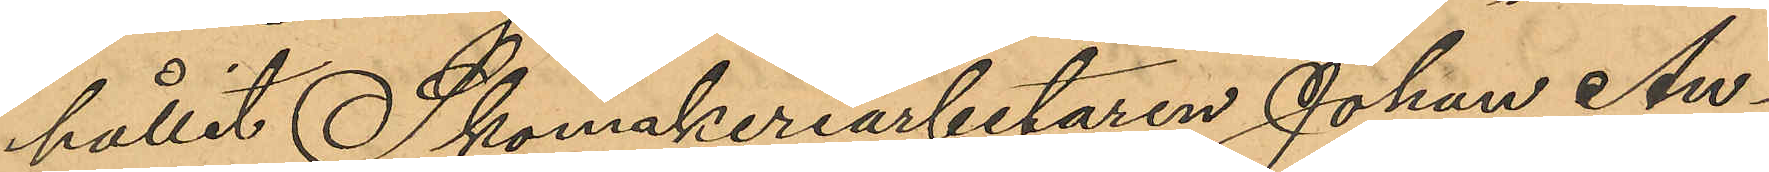hållit Skomakeriarbetaren Johan An¬
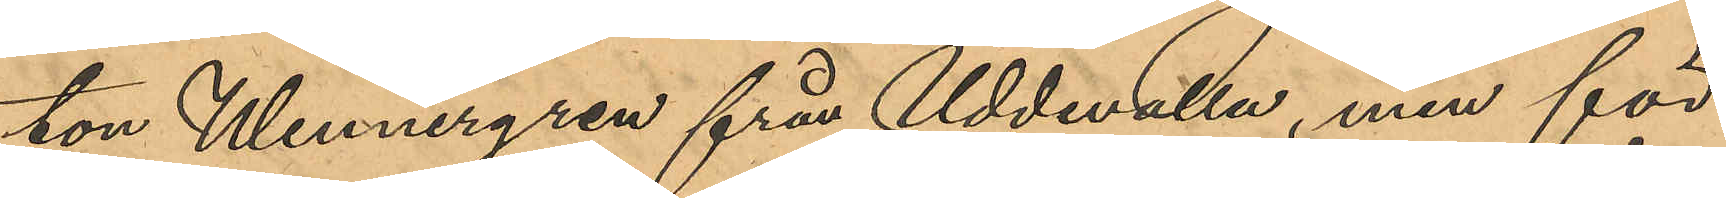ton Wennergren från Uddevalla, men för
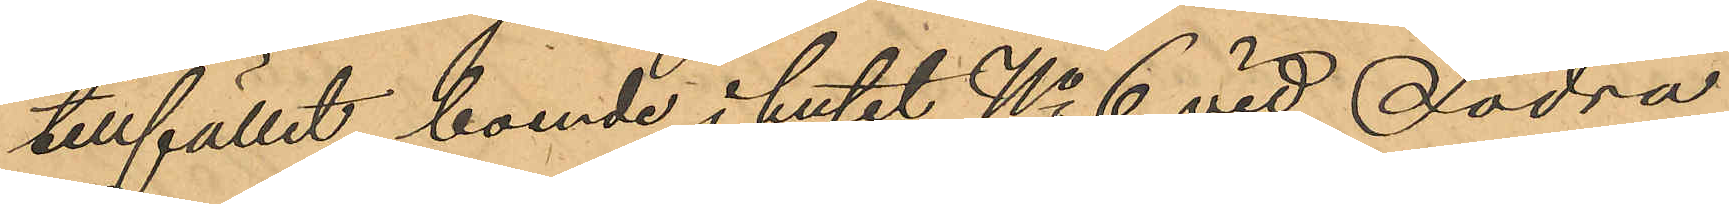tillfället boende i huset No 6 vid Södra
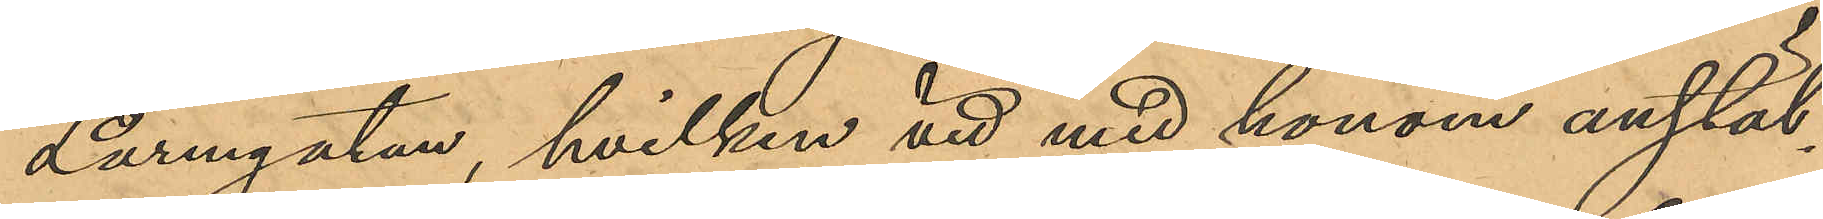Larmgatan, hvilken vid med honom anstäl¬
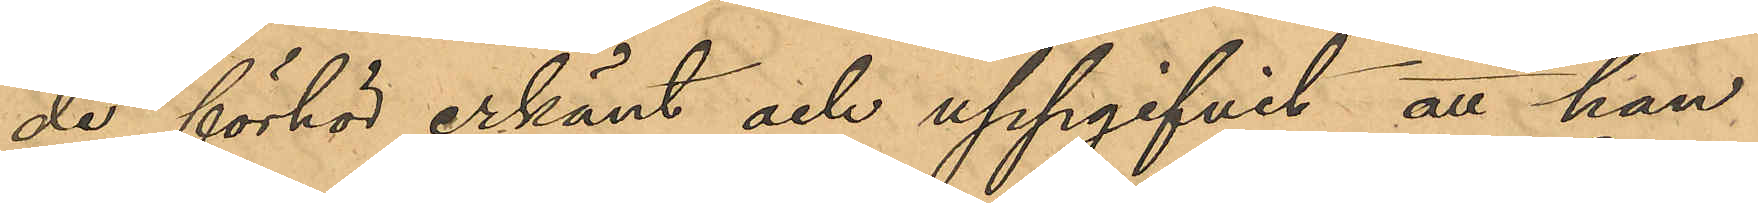de förhör erkänt och uppgifvit, att han
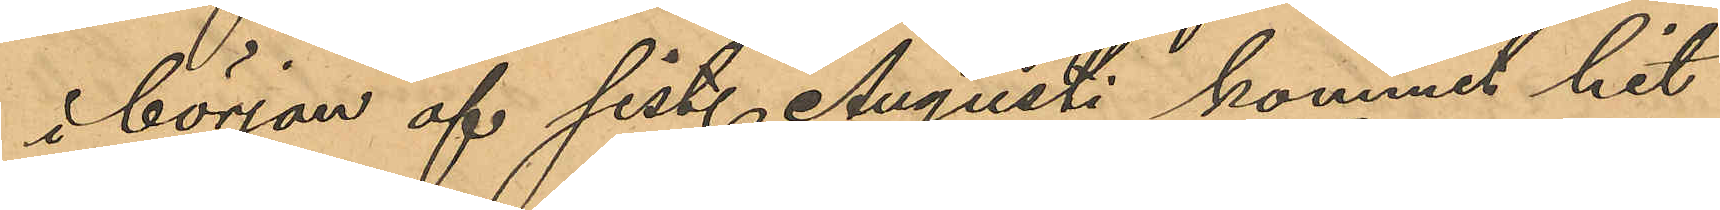i början af sist. Augusti kommit hit
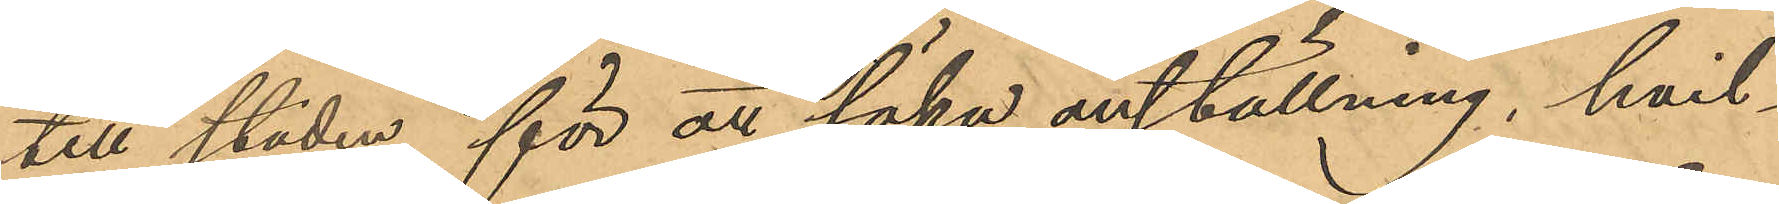till staden för at söka anställning, hvil¬
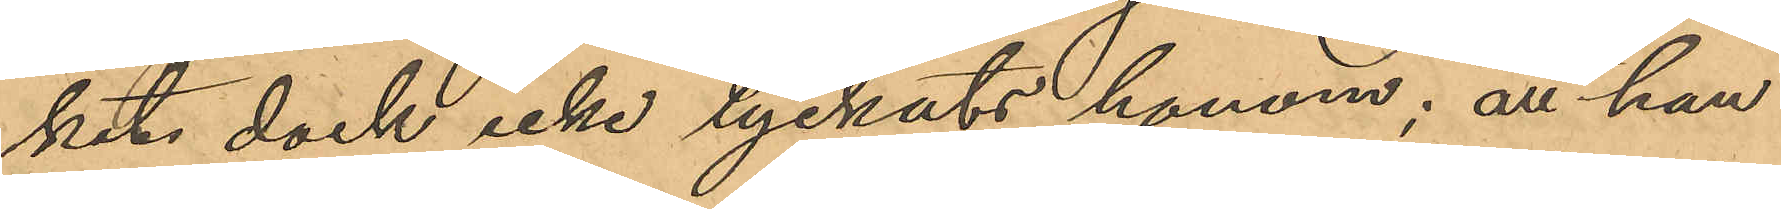ket dock icke lyckats honom; att han
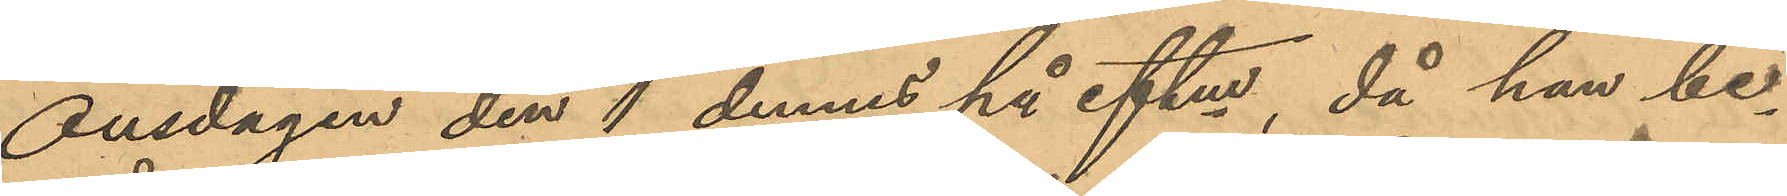Onsdagen den 1 dennes på eftm, då han be¬
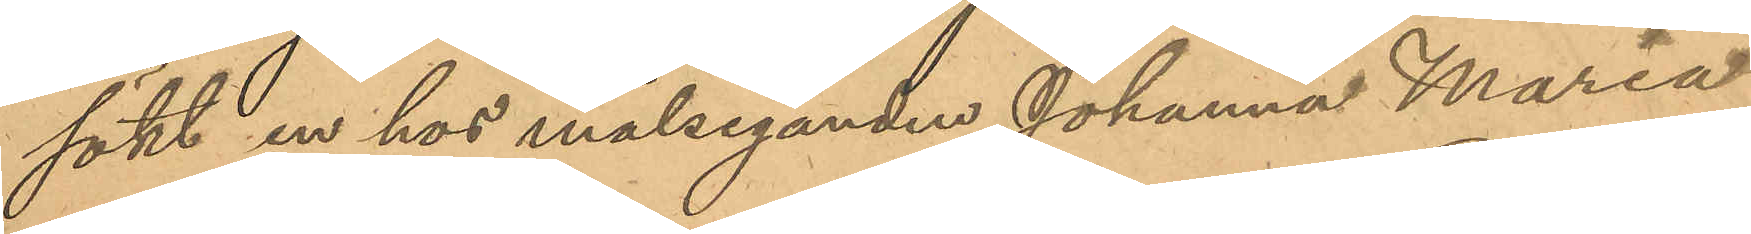sökt en hos målseganden Johanna Maria
